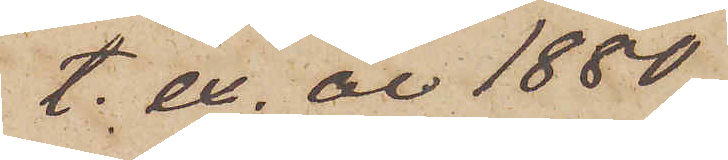t. ex. år 1880
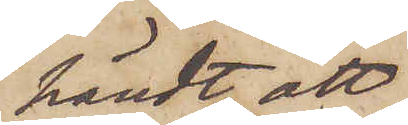händt, att,
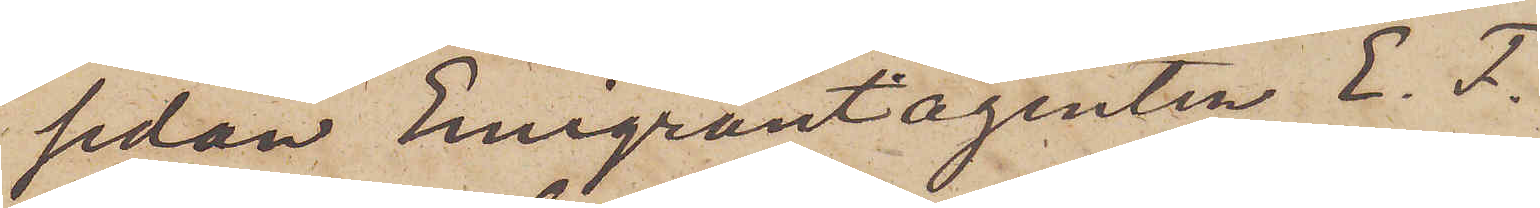sedan Emigrantagenten E. F.
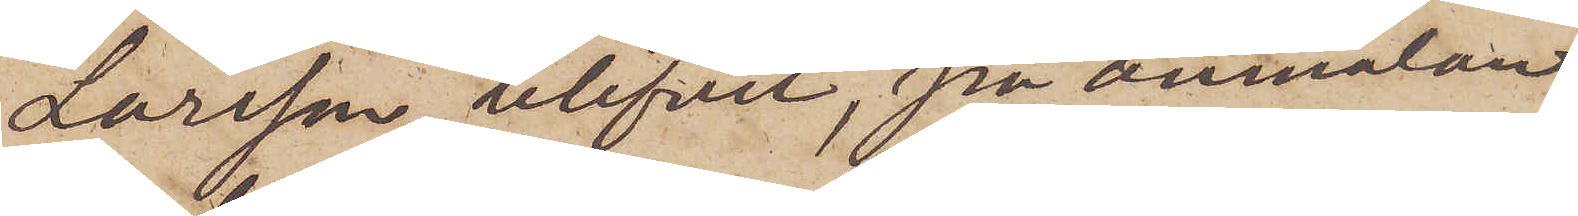Larsson blifvit, på anmälan
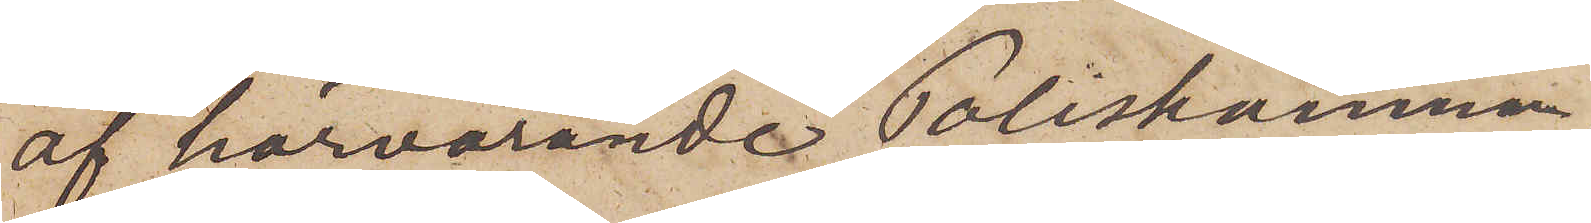af härvarande Poliskammare
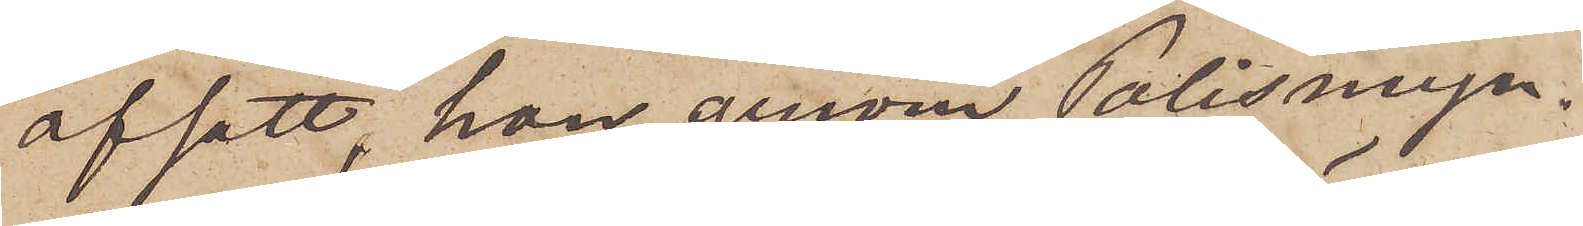afsatt, han genom Polismyn¬
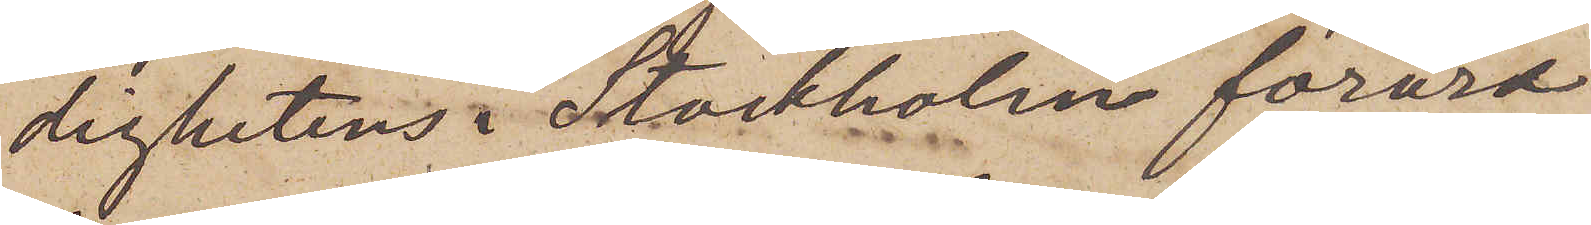dighetens i Stockholm förord
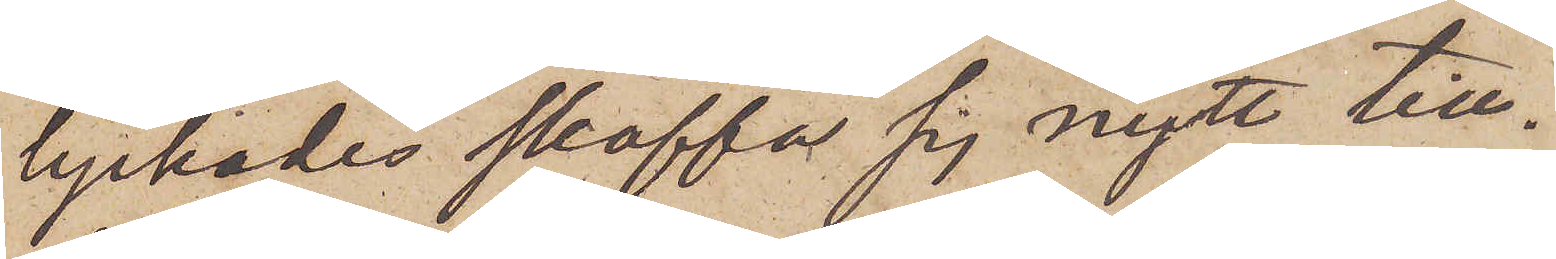lyckades skaffa sig nytt till¬
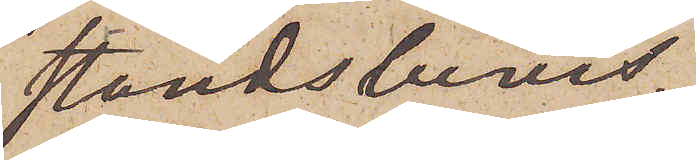ståndsbevis.
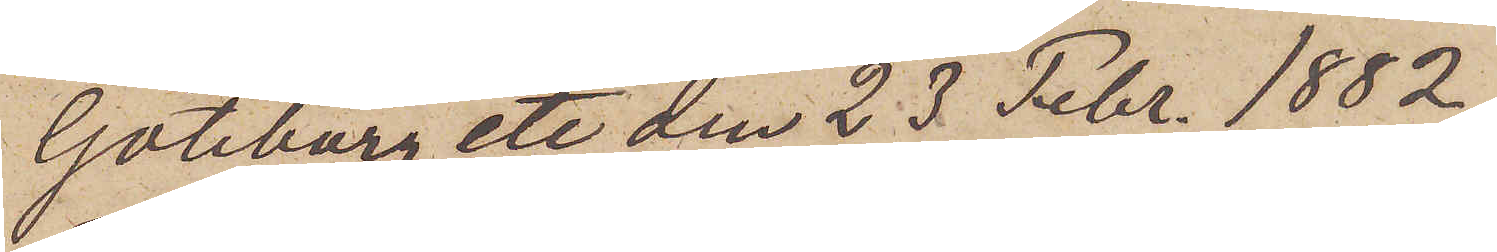Göteborg etc den 23 Febr. 1882.
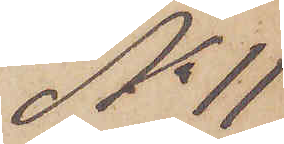No 11
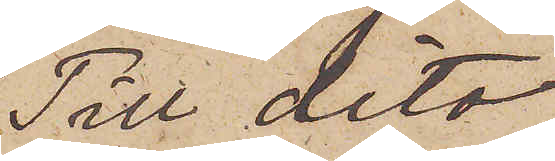Till dito
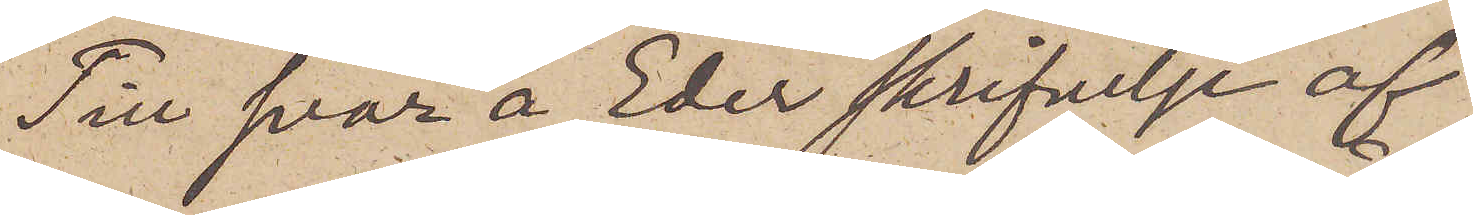Till svar å Eder skrifvelse af
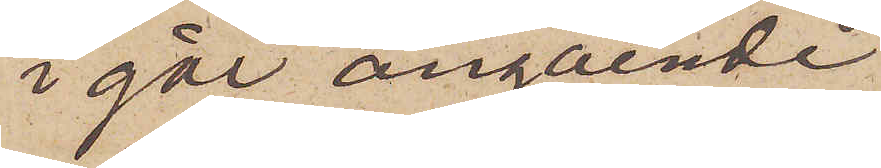i går angående
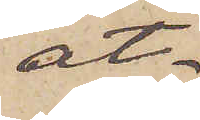åt¬
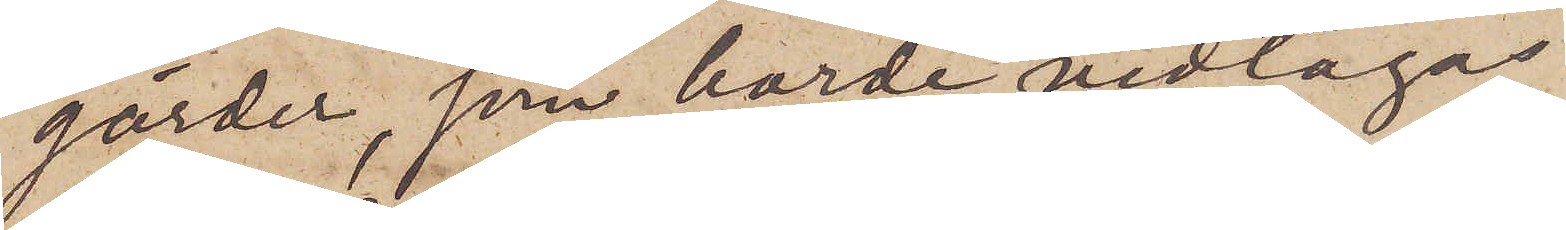gärder, som borde vidtagas
